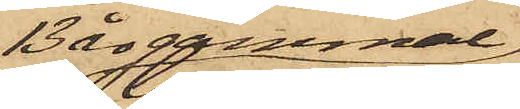13 år gammal
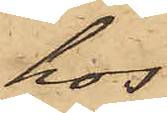hos
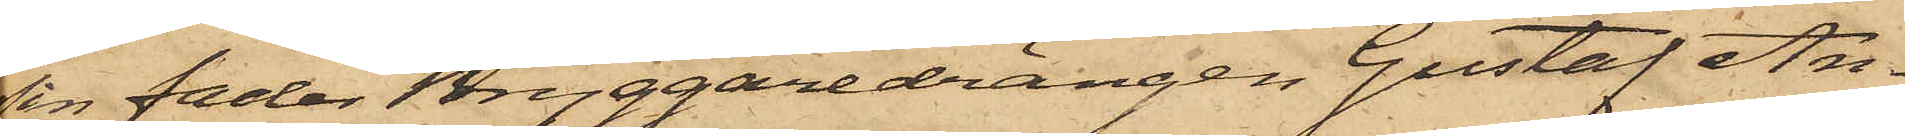sin fader Bryggaredrängen Gustaf An¬
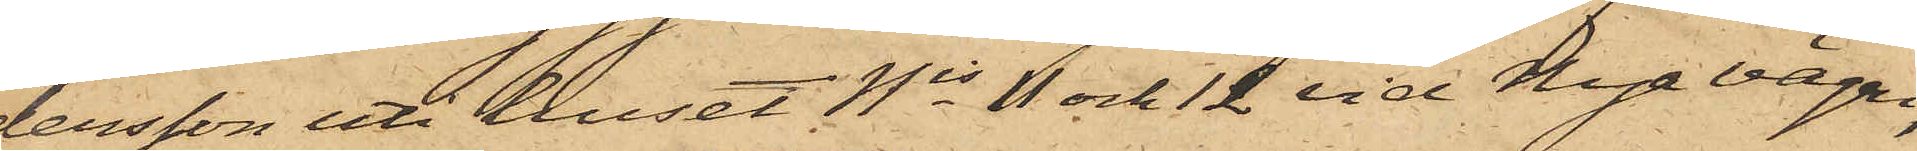tersson uti huset Nis 1 och 12 vid Nya vägen,
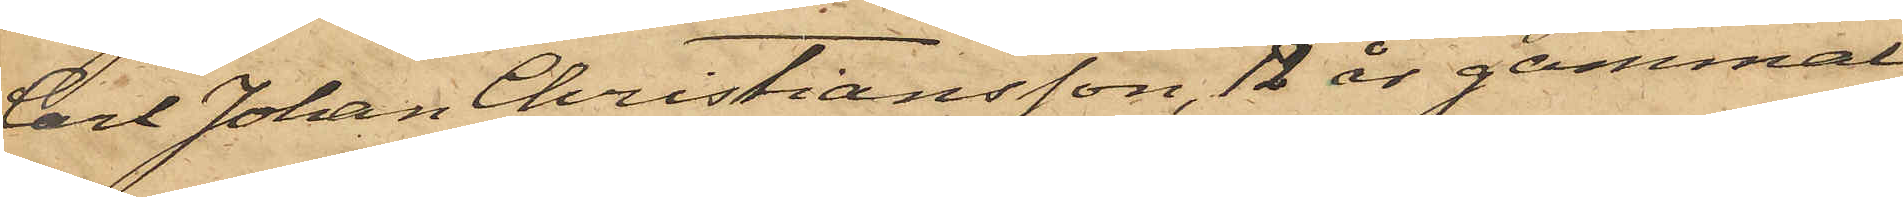Carl Johan Christiansson, 12 år gammal
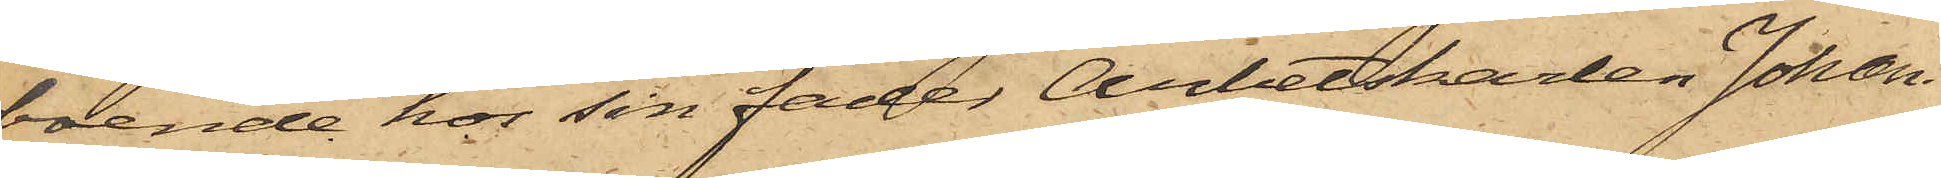boende hos sin fader Arbetskarlen Johan
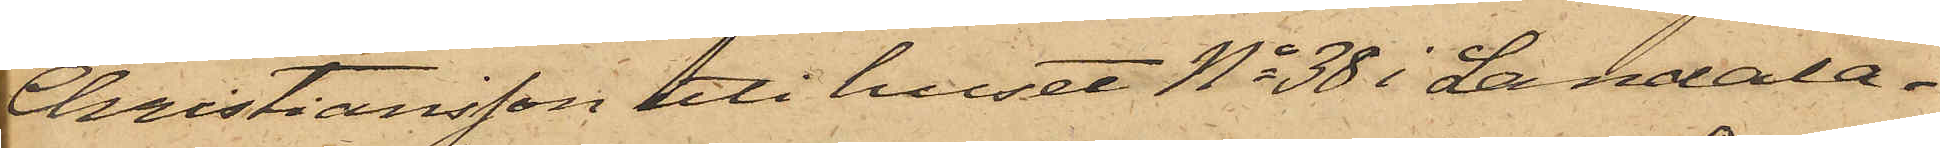Christiansson uti huset No 38 i Landala¬
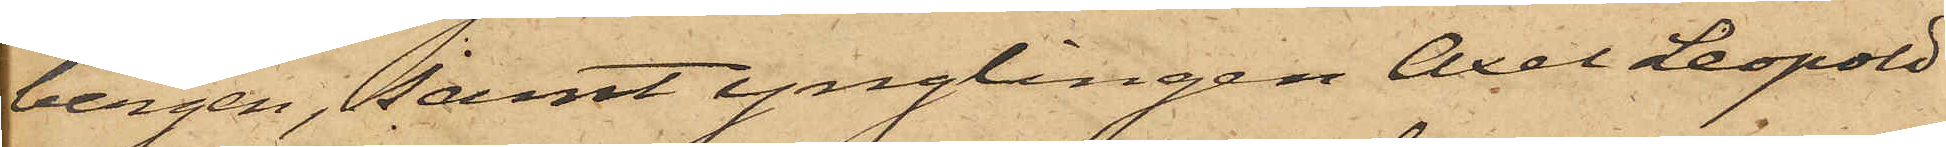bergen, samt ynglingen Axel Leopold
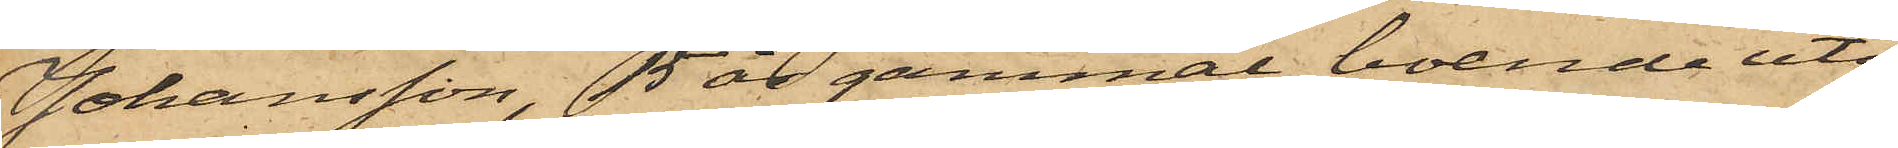Johansson, 15 år gammal, boende uti
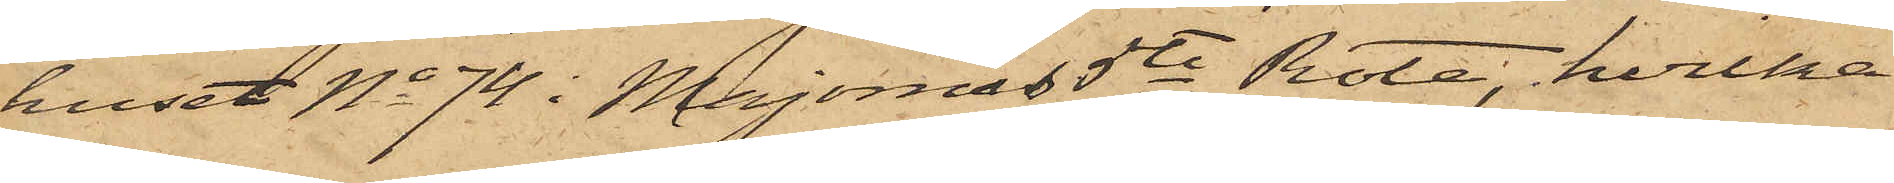huset No 74 i Majornas 5te Rote, hvilka
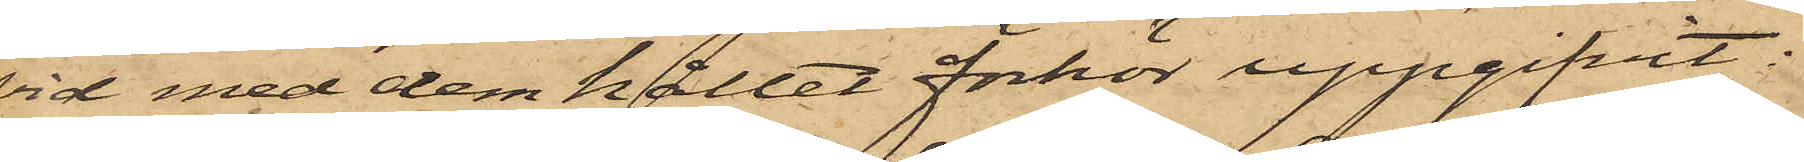vid med dem hållet förhör uppgifvit:
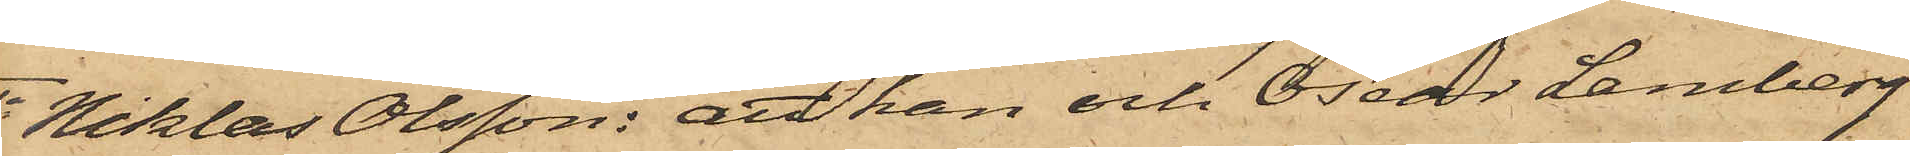1o Niklas Olsson: att han och Oscar Lamberg
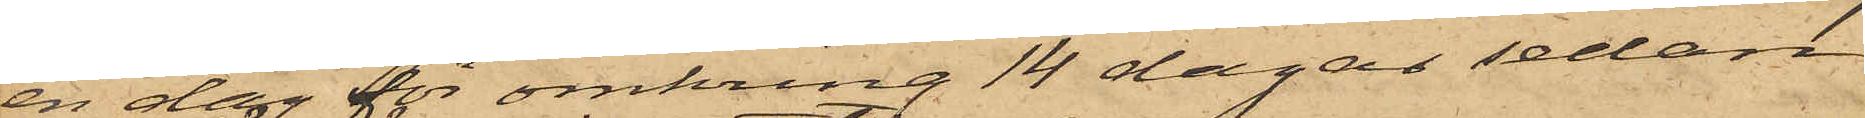en dag för omkring 14 dagar sedan
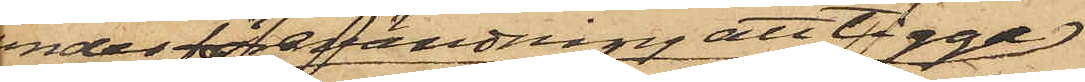under förvandning att tigga
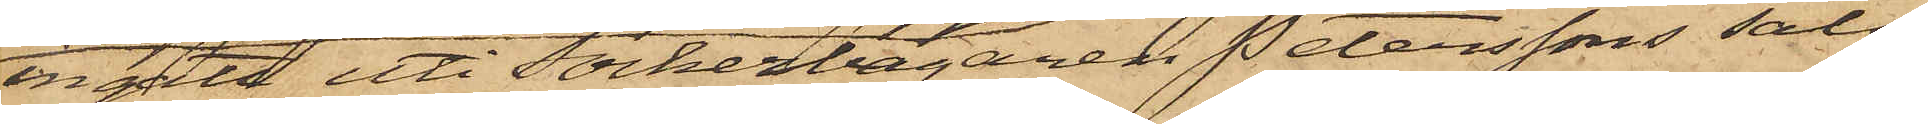ingått uti Sockerbagaren Peterssons salu¬
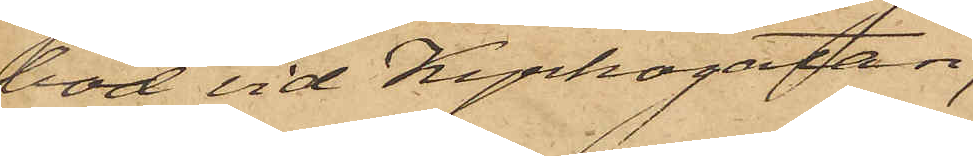bod vid Kyrkogatan,
